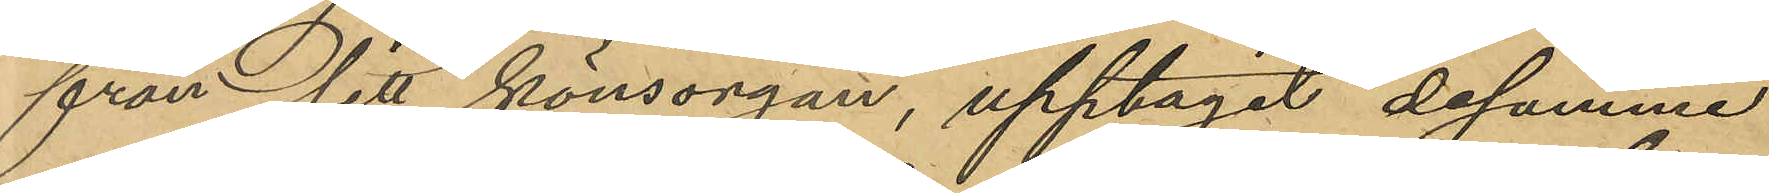från sitt könsorgan, upptagit desamma
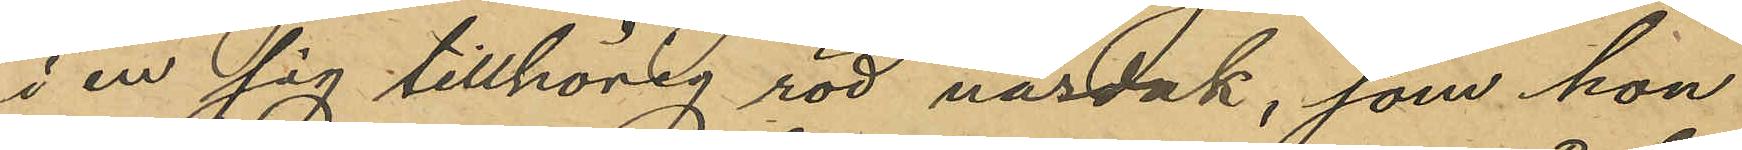i en sig tillhörig röd näsduk, som hon
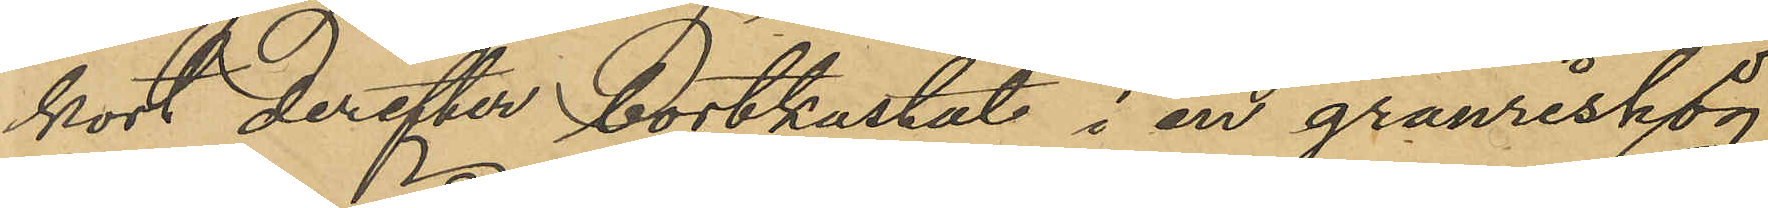kort derefter bortkastat i en granrishög,
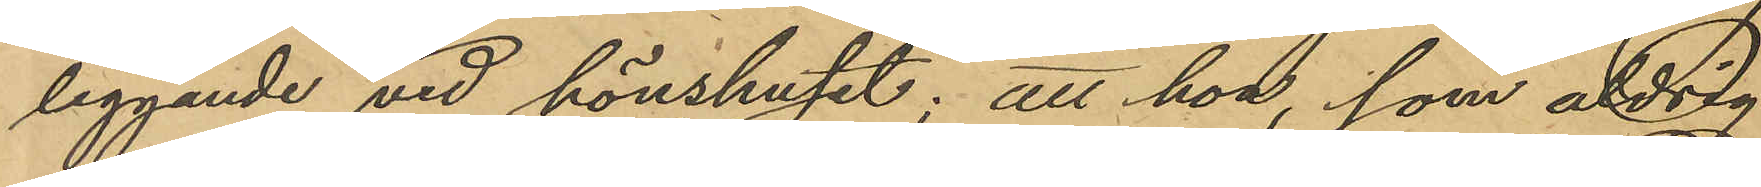liggande vid hönshuset; att hon som aldrig
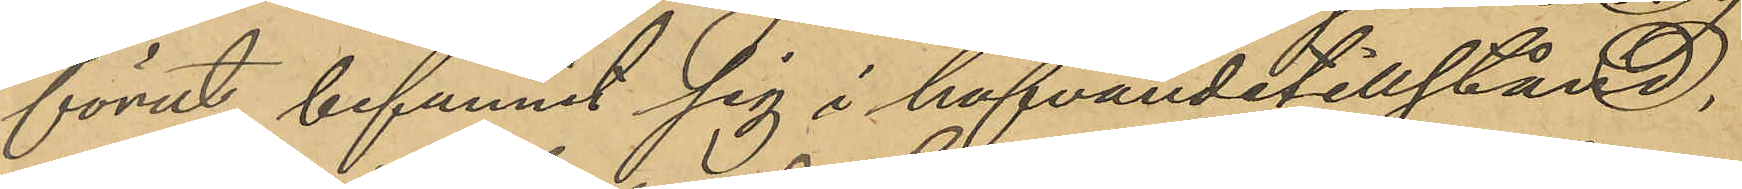förut befunnit sig i hafvandetillstånd,
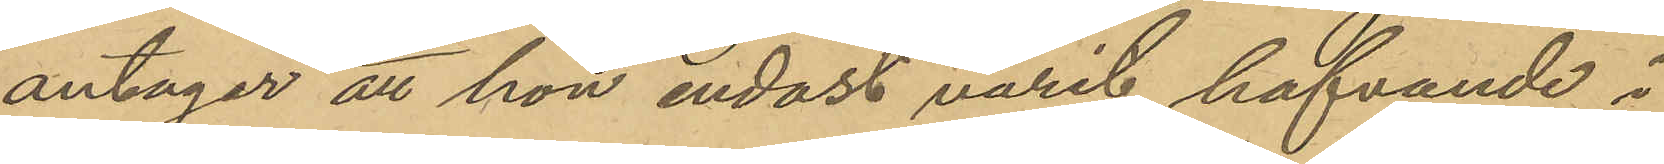antager att hon endast varit hafvande i
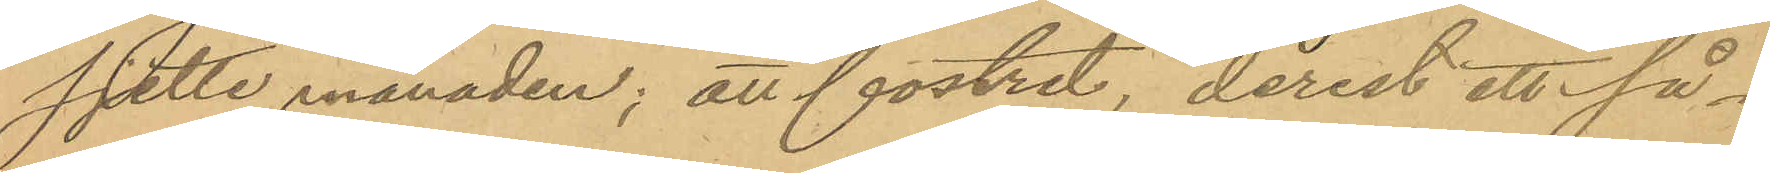sjätte månaden; att fostret, derest ett så¬
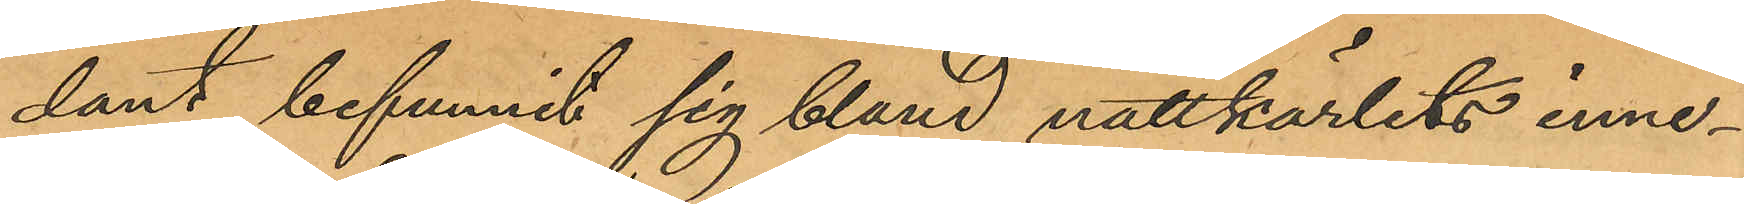dant befunnit sig bland nattkärlets inne¬
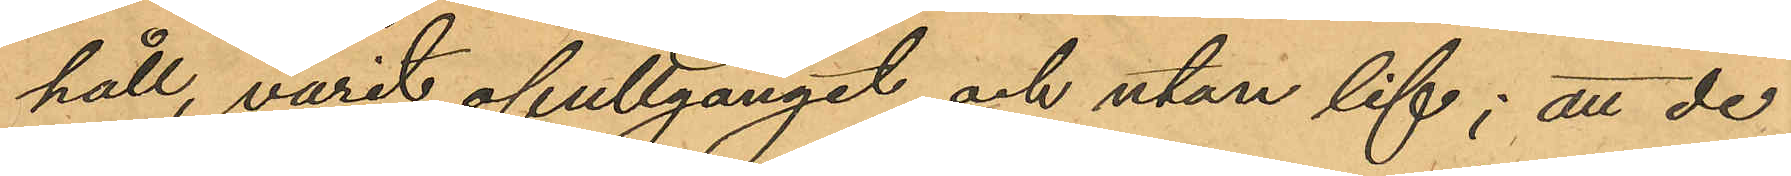håll, varit ofullgånget och utan lif; att de
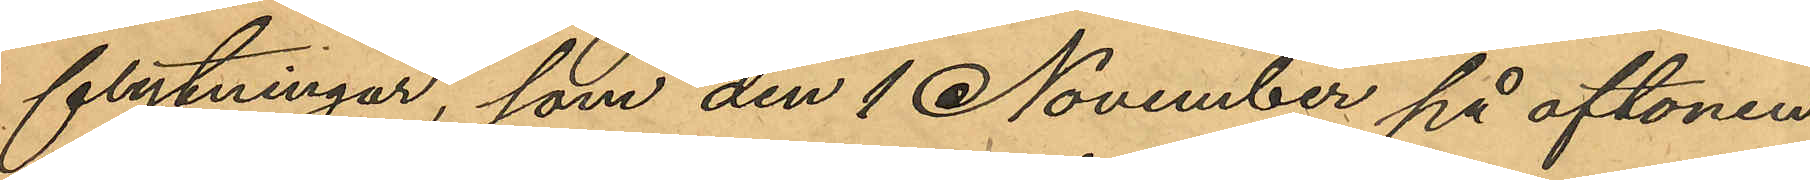flytningar, som den 1 November på aftonen
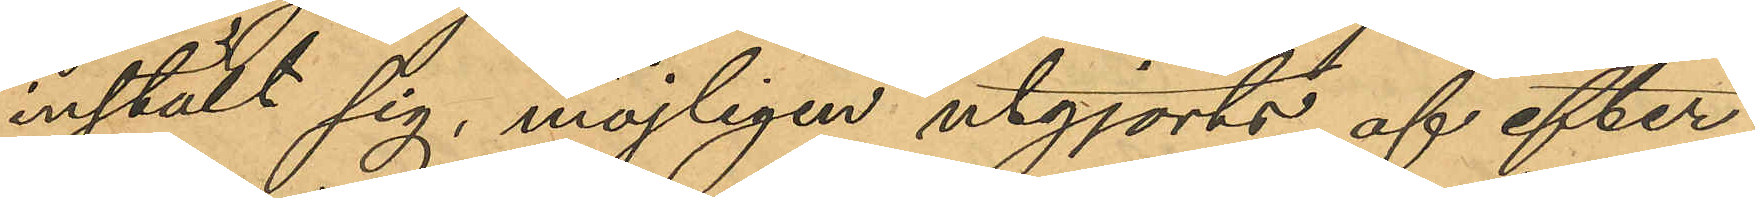instält sig, möjligen utgjorts af efter¬
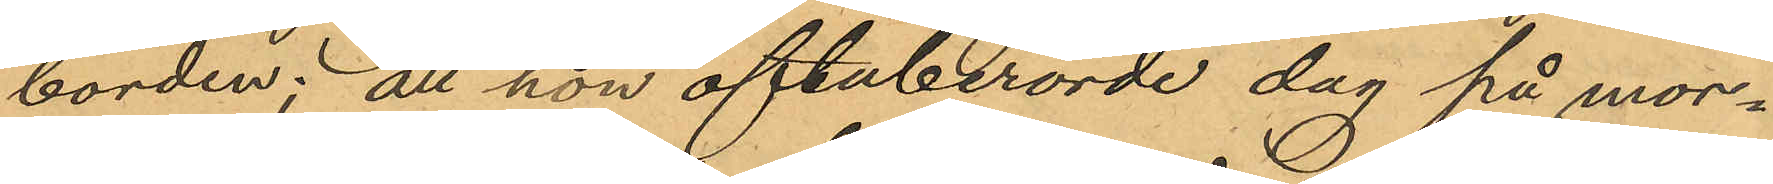börden; att hon oftaberörde dag på mor¬
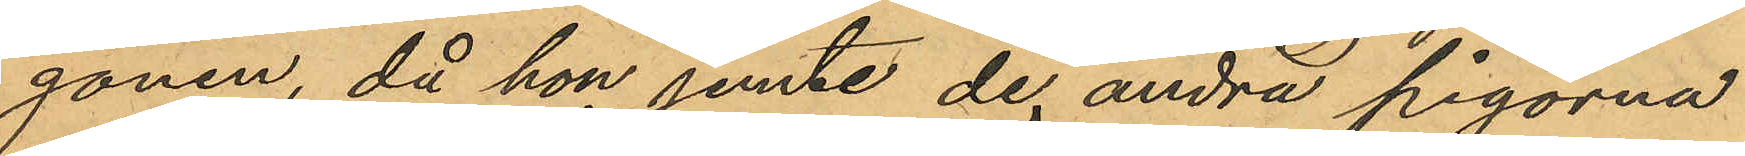gonen, då hon jemte de andra pigorna
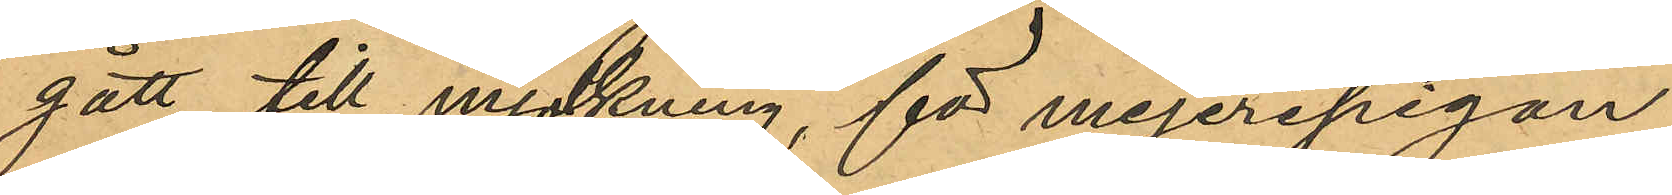gått till mjölkning, för mejeripigan
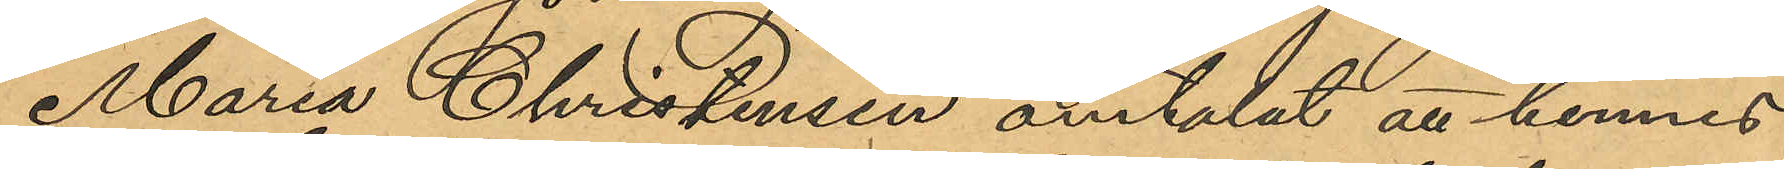Maria Christensen omtalat att hennes
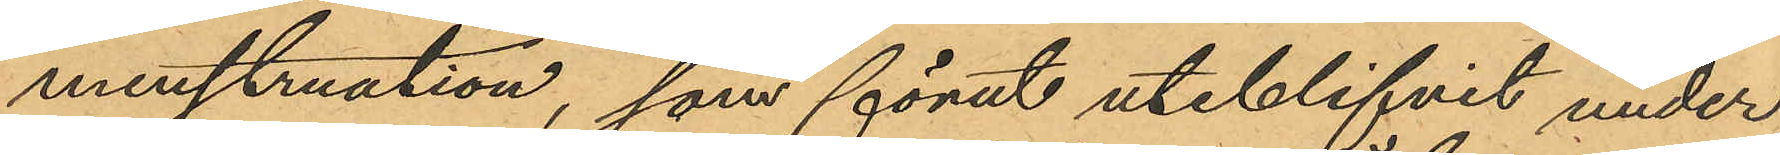menstruation, som förut uteblifvit under
